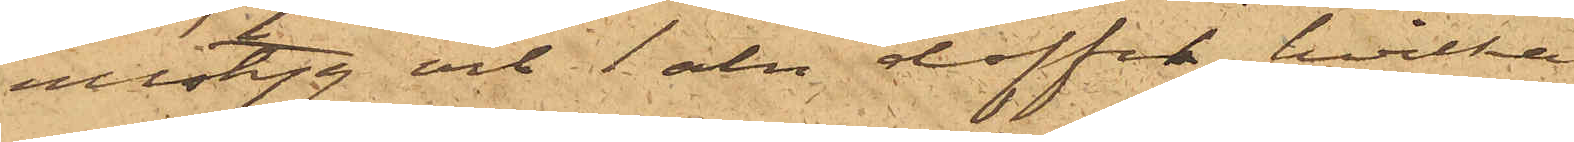ullstyg och1 aln doffel, hvilka
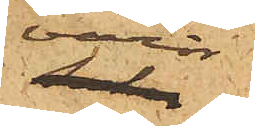varor
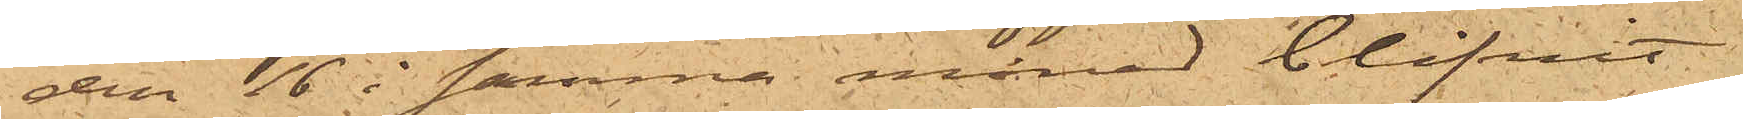den 16 i samma månad blifvit
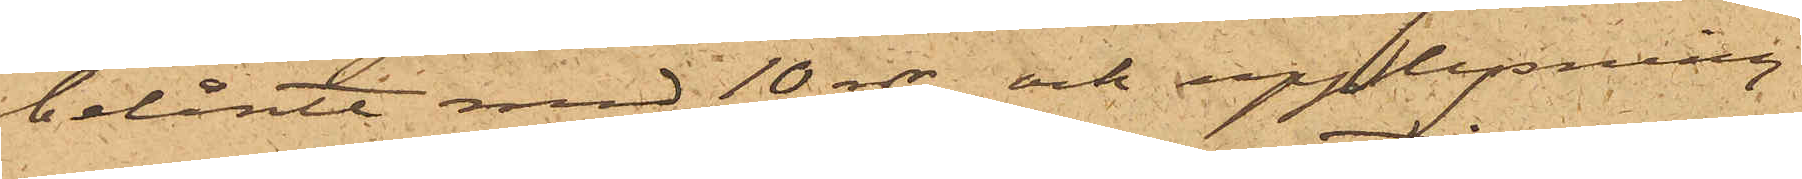belånte med 10 rdr, och upplysning
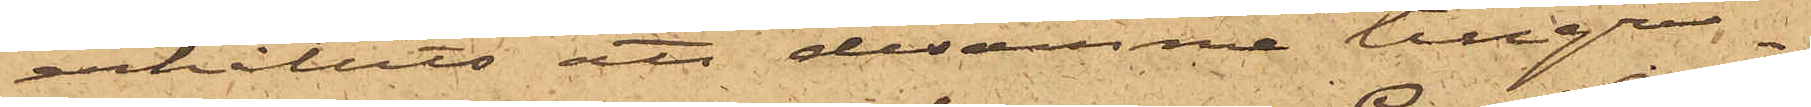erhållits att desamme tillgri¬
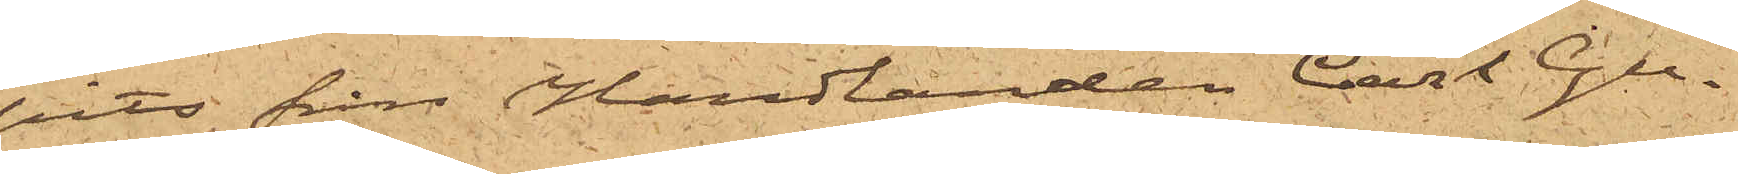pits från Handlanden Carl Gu¬
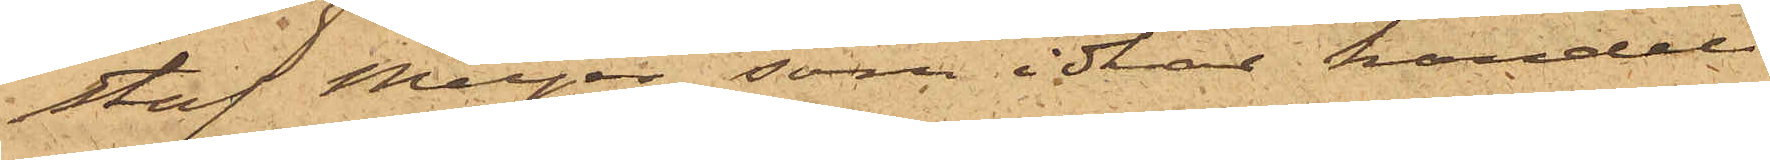staf Meyer, som idkar handel
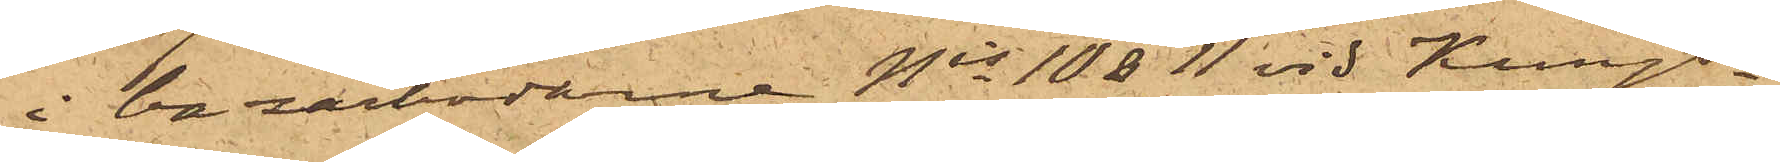i bazarbodarne Nris 10 & 11 vid Kungs¬
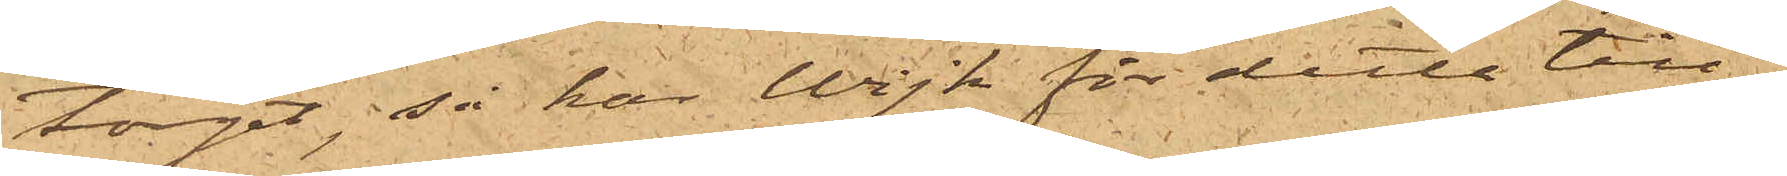torget, så har Wijk för detta till¬
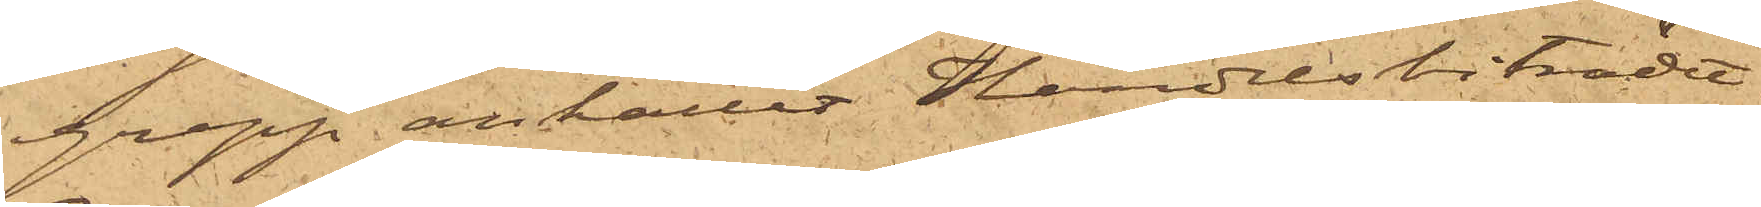grepp anhållit Handelsbiträdet
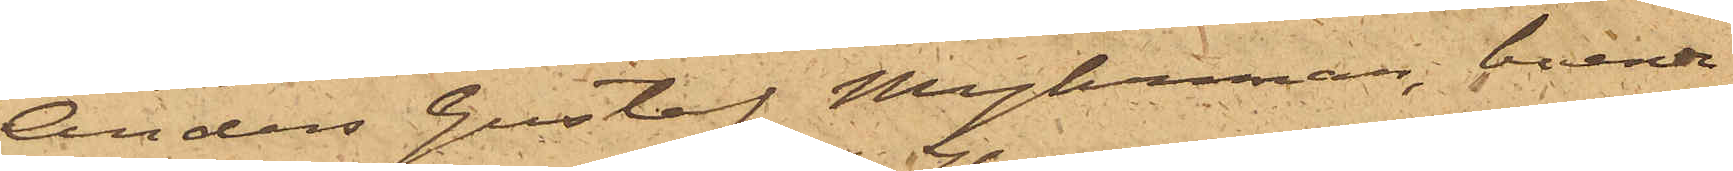Anders Gustaf Myhrman, boende
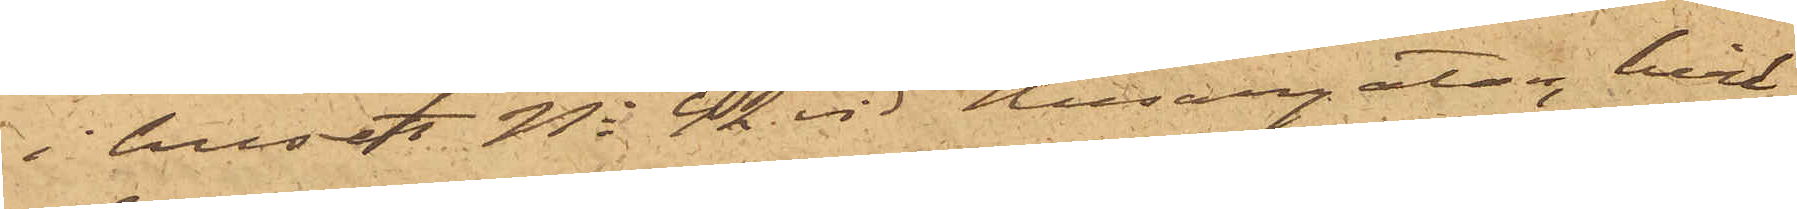i huset No 42 vid Husargatan, hvil¬
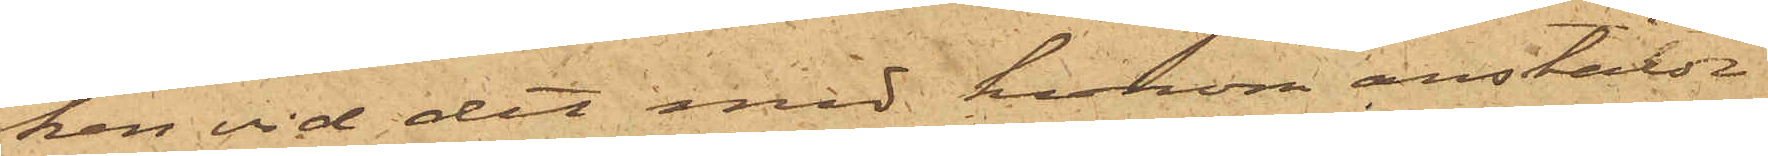ken vid det med honom anstälde
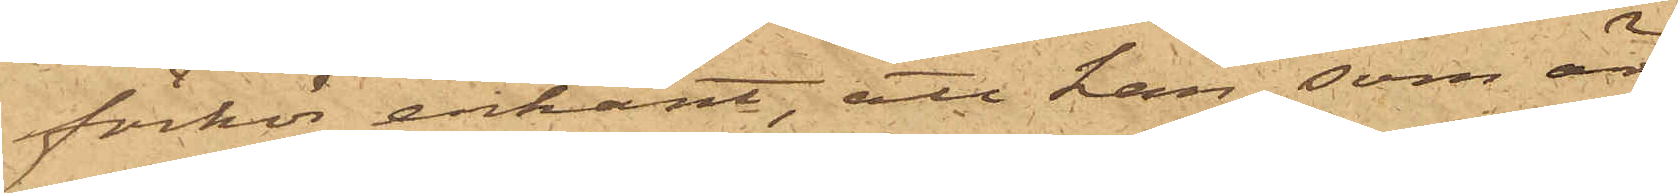förhör erkänt, att han, som är
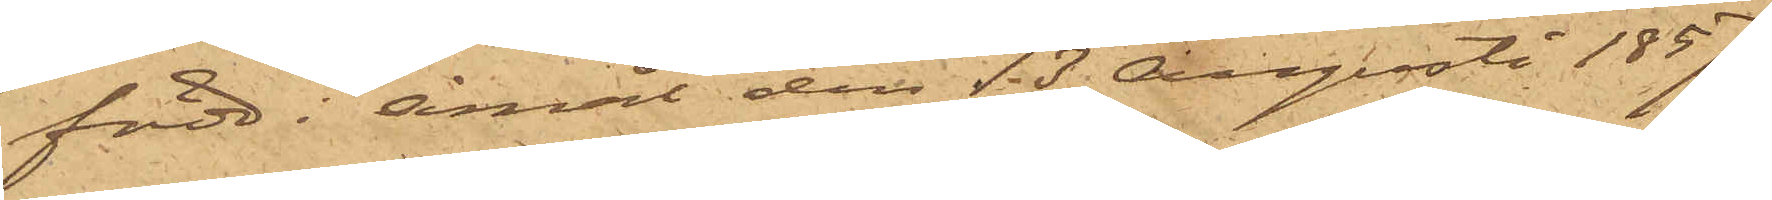född i Åmål den 13 Augusti 1857,
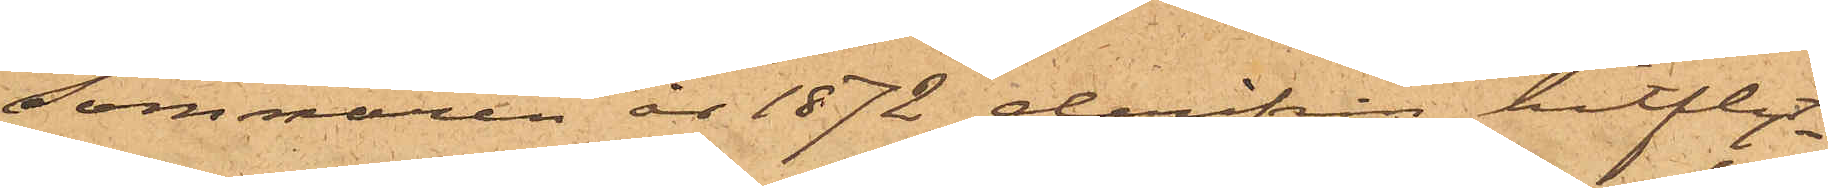sommaren år 1872 derifrån hitflyt¬
